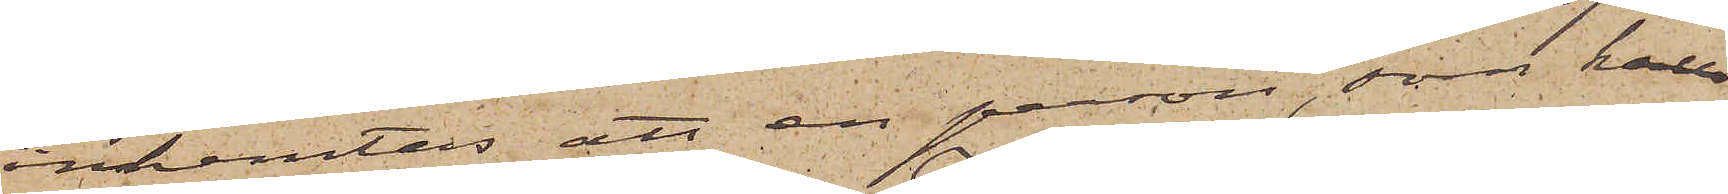inhemtas att en person, som kall
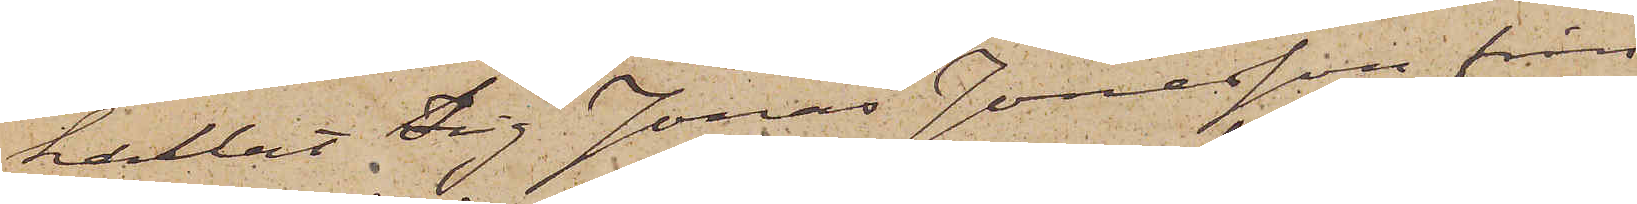kallat sig Jonas Jonasson från
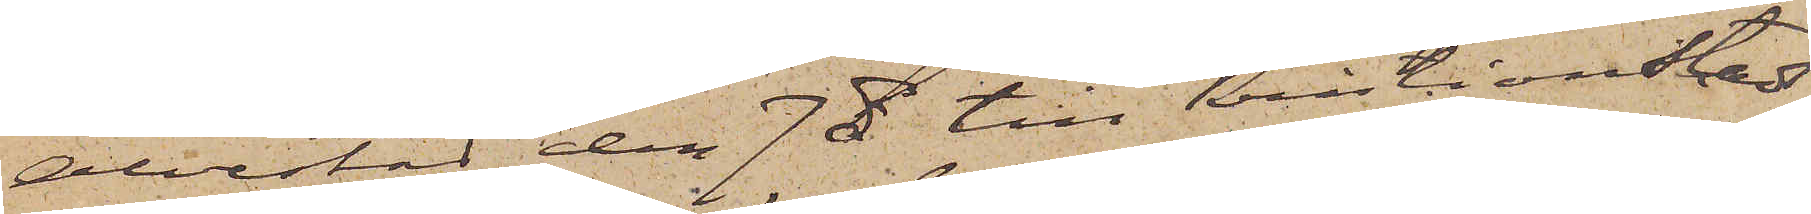Alvestad den 7 ds till Kristianstads
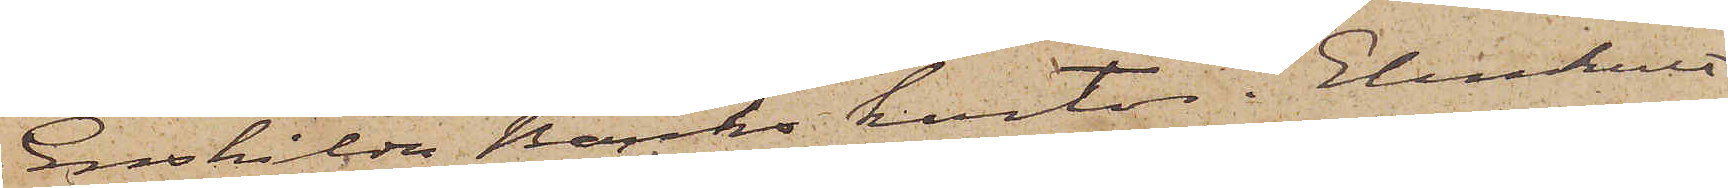Enskilda Banks kontor i Elmhult
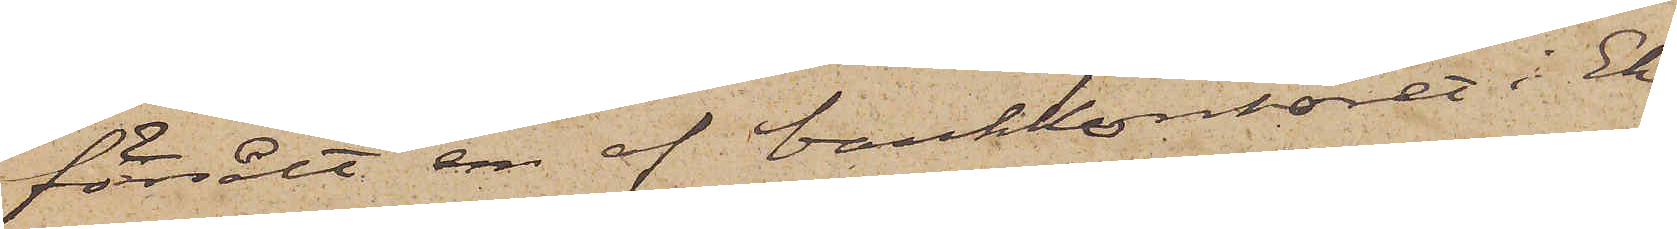försålt en af bankkontoret i Ek¬
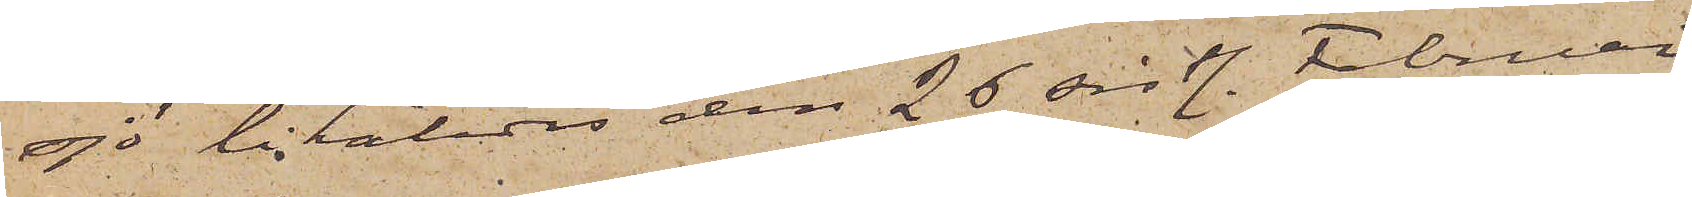sjö likaledes den 26 sistl. Februari
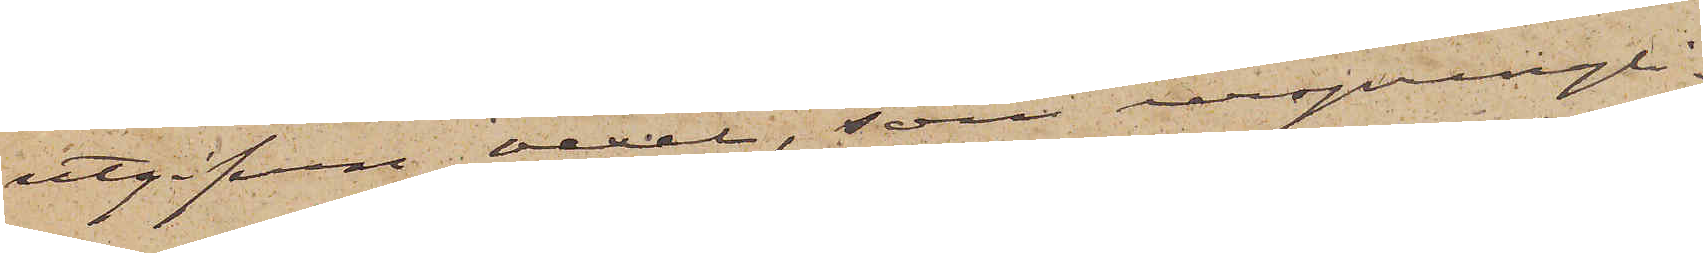utgifven vexel, som ursprungli¬
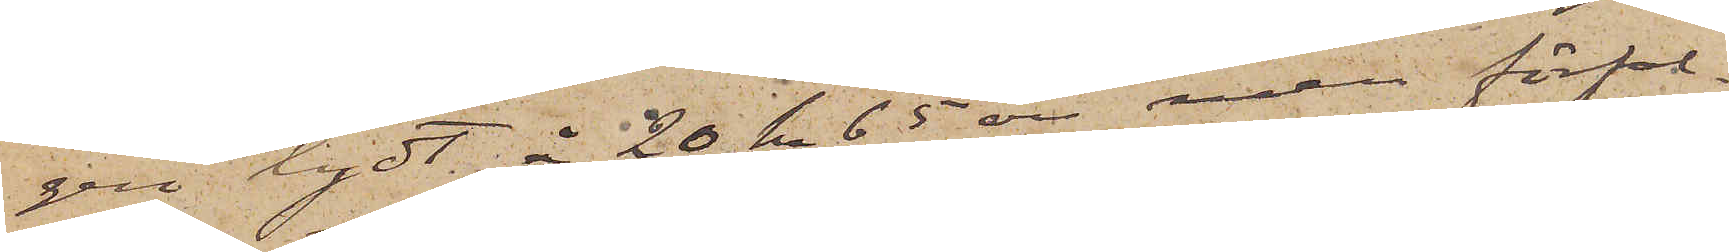gen lydt å 20 kr 65 öre, men förfal¬
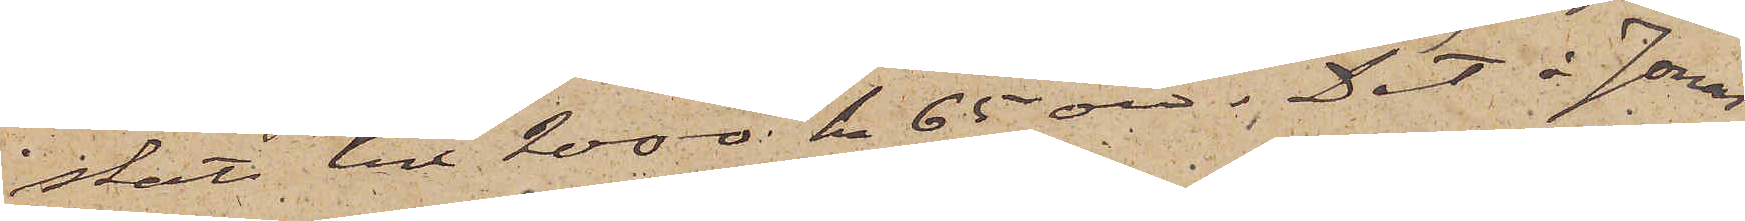skats till 2000 kr 65 öre. Det å Jonas
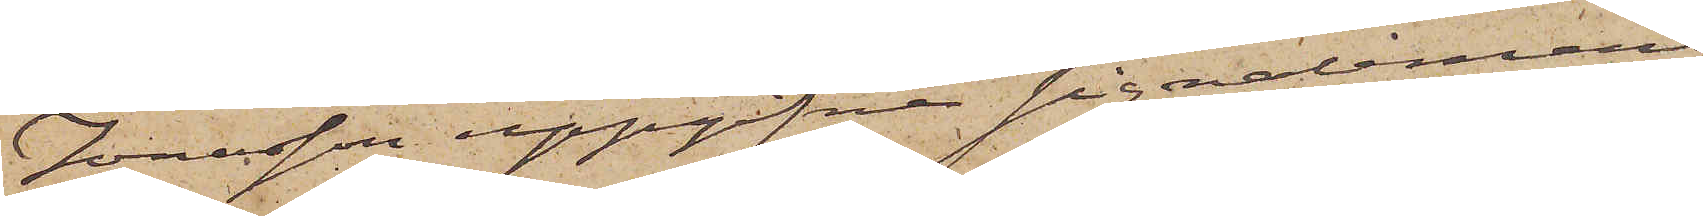Jonasson uppgifna signalement
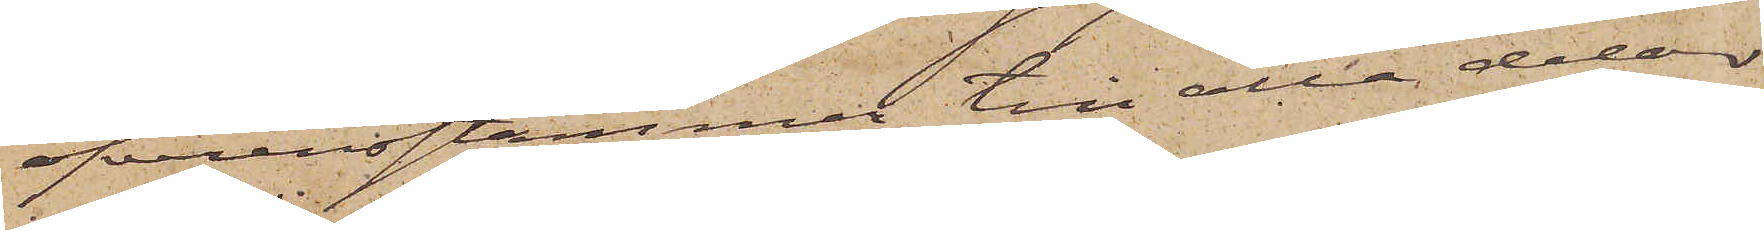öfverensstämmer till alla delar
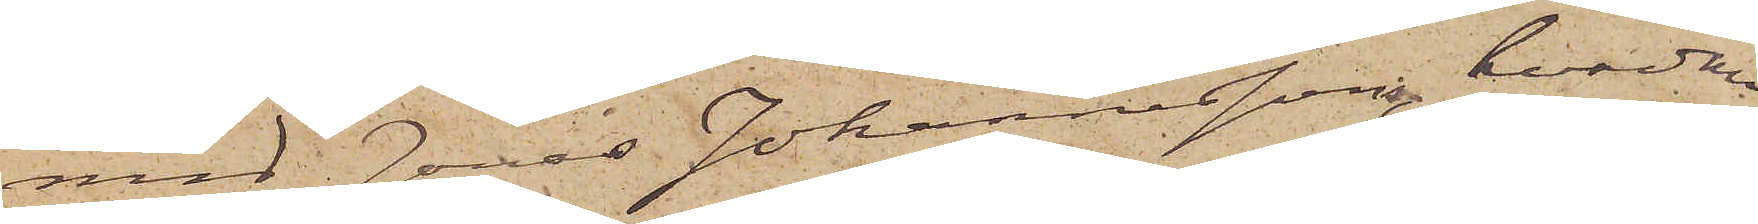med Jonas Johannesson, hvardan
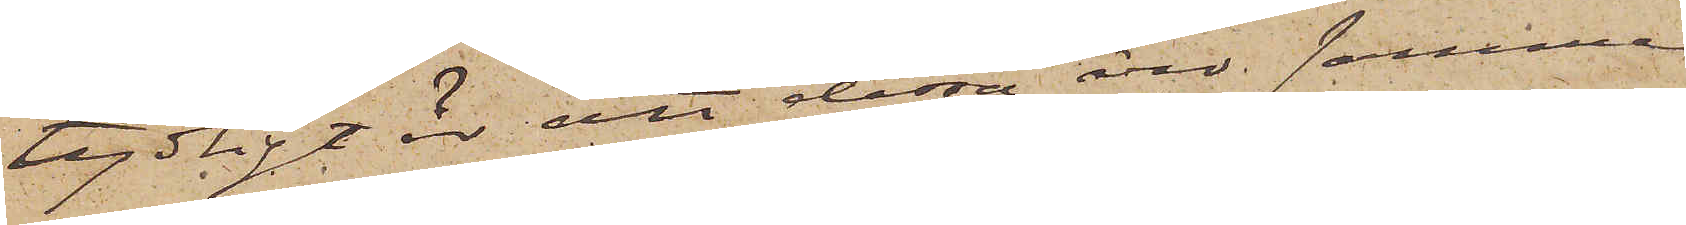tydligt är att dessa äro samma
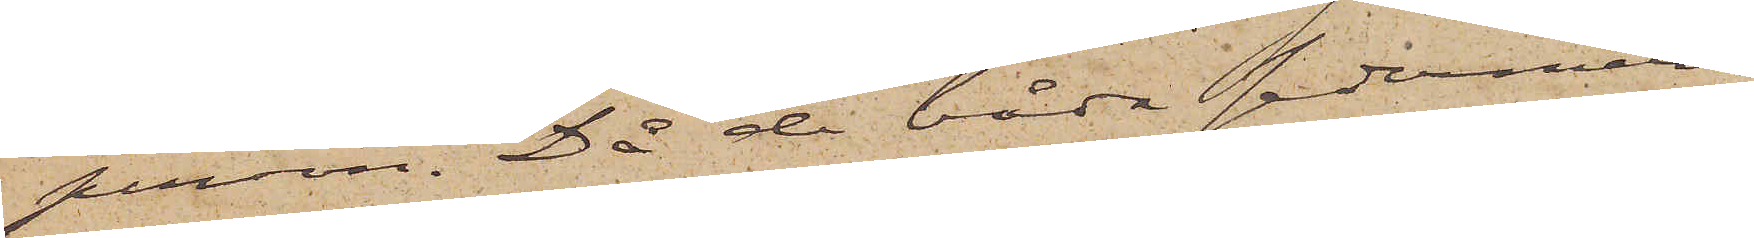person. Då de båda sedermera
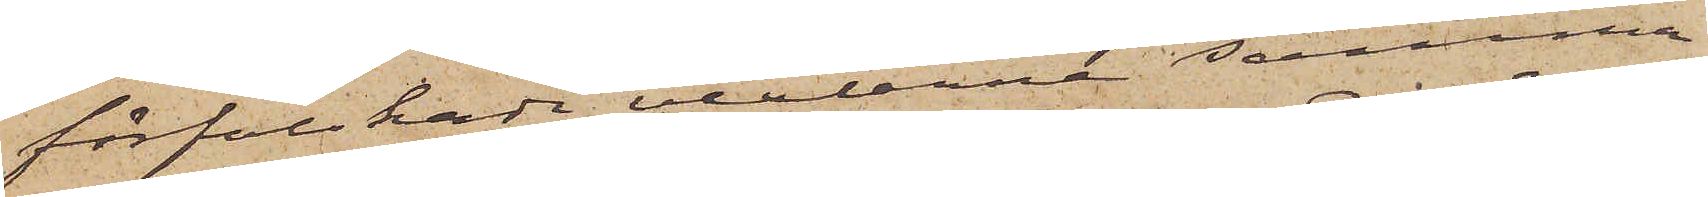förfalskade vexlarna samma
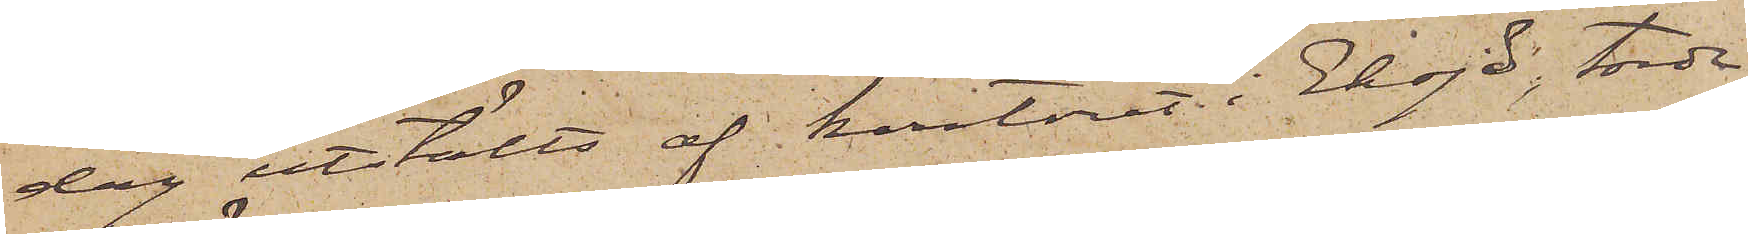dag utstälts af kontoret i Eksjö, torde
